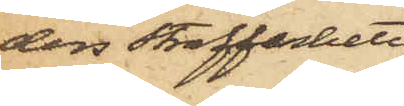ders straffarbete
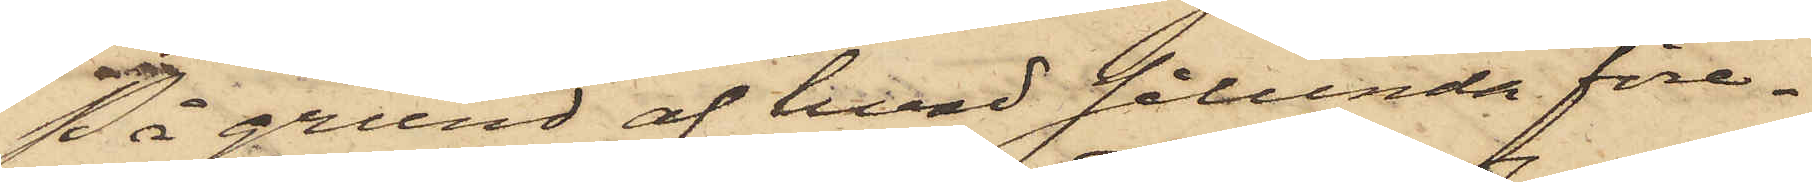På grund af hvad sålunda före¬
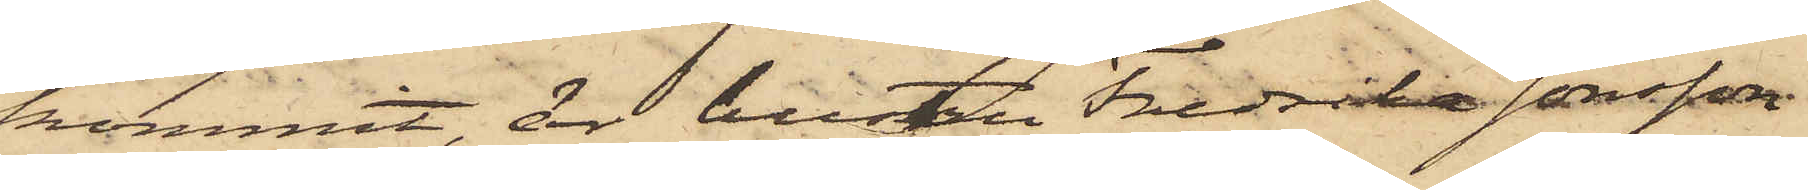kommit, är hustru Fredrika Jonssson
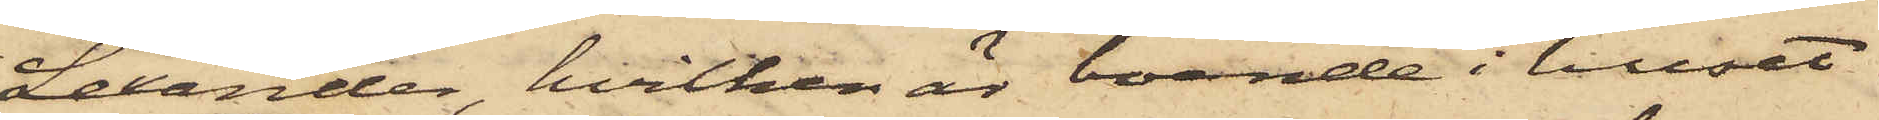Lexander, hvilken är boende i huset
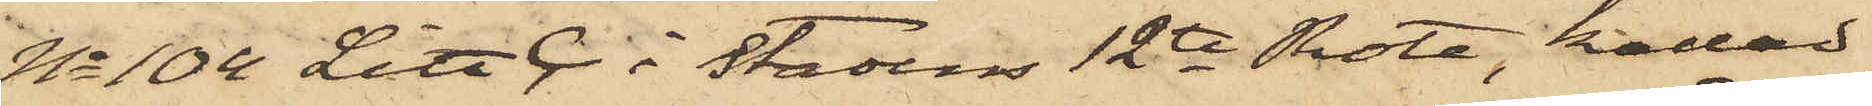No 104 Litt C. i Stadens 12te Rote, kallad
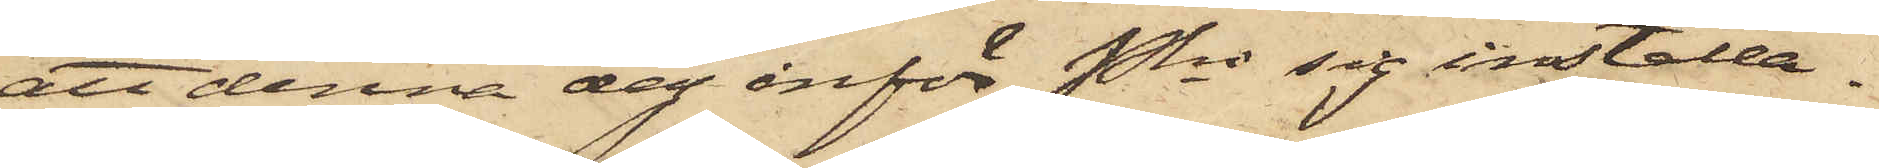att denna dag inför Pkn sig inställa.
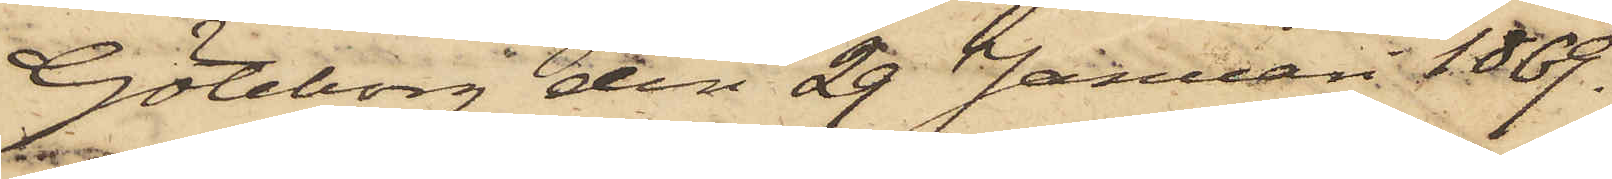Göteborg den 29 Januari 1869.
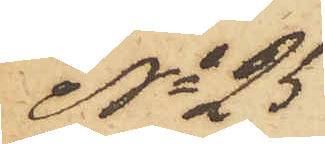No 25
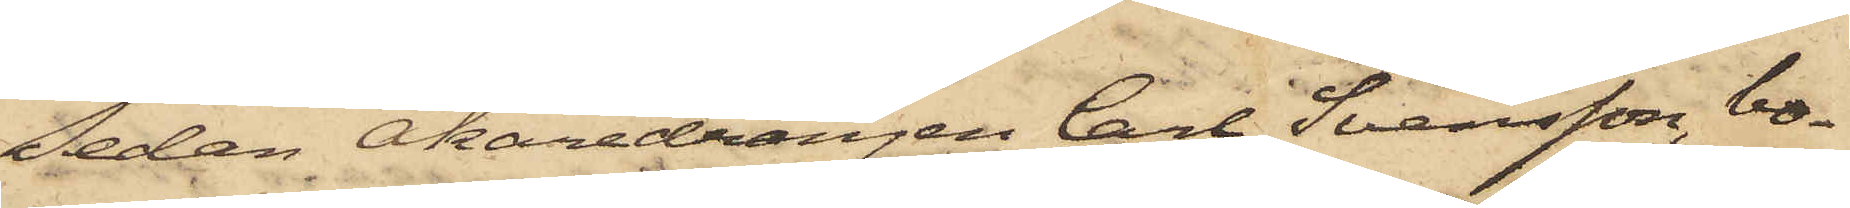Sedan Åkaredrängen Carl Svensson, bo¬
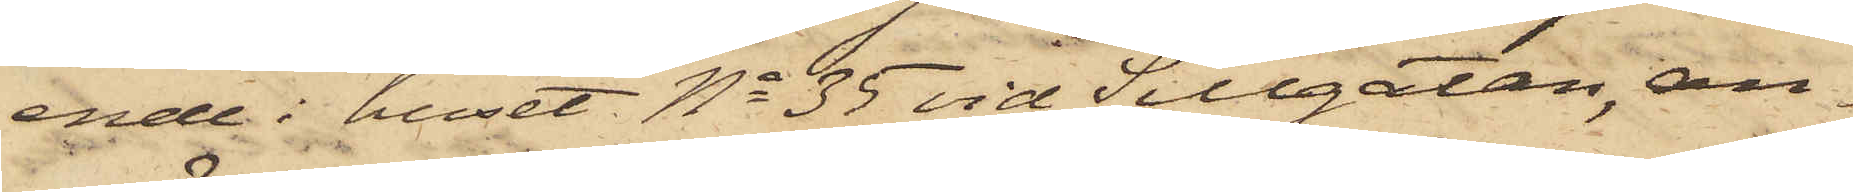ende i huset No 35 vid Sillgatan, an¬
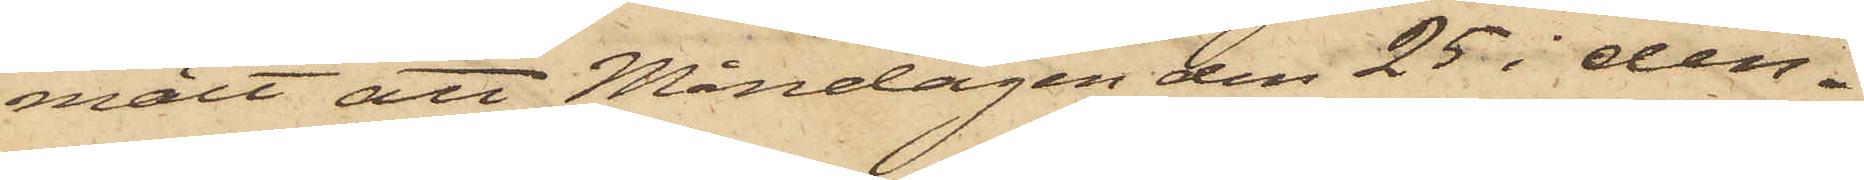mält att Måndagen den 25 i den¬
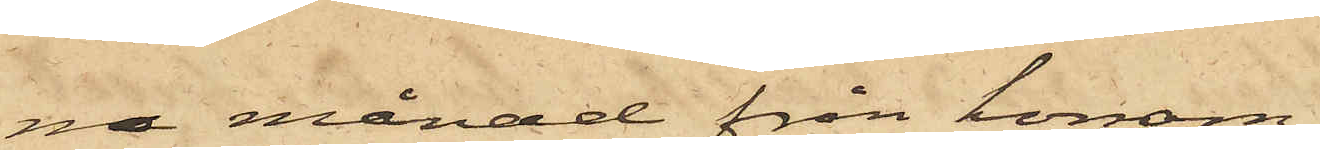na månad från honom
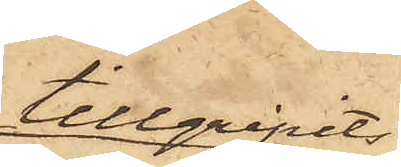tillgripits
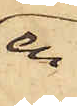en
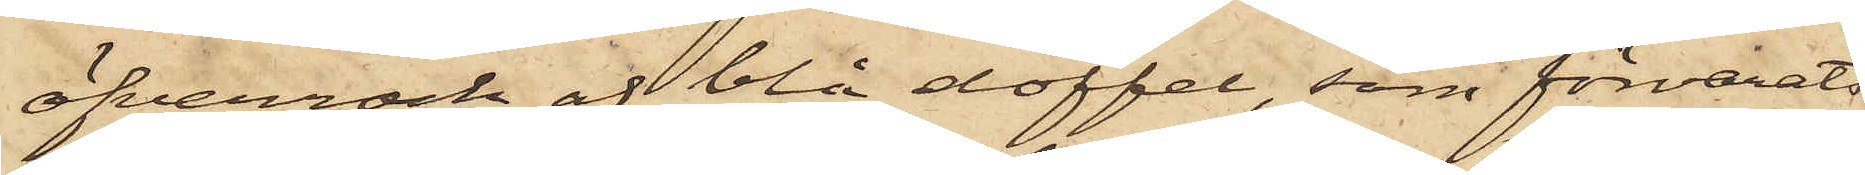öfverrock af blå doffel, som förvarats
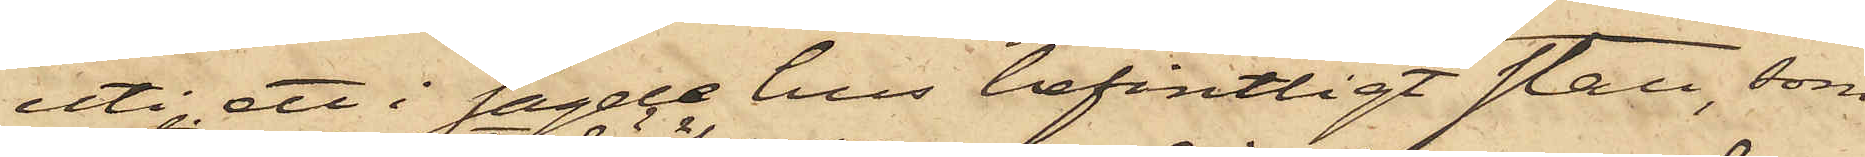uti ett i sagde hus befintligt stall, som
